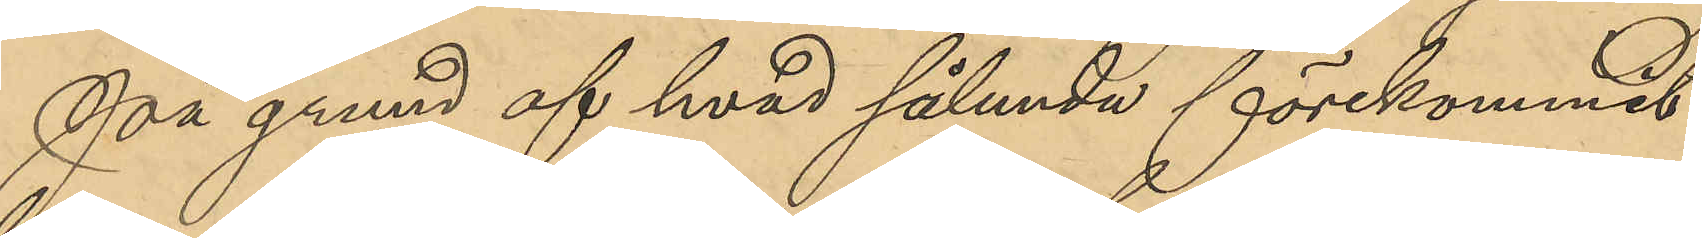På grund af hvad sålunda förekommit
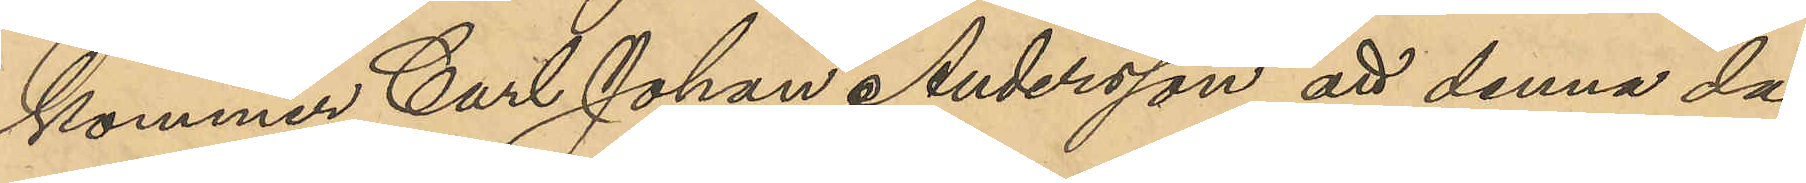kommer Carl Johan Andersson att denna dag
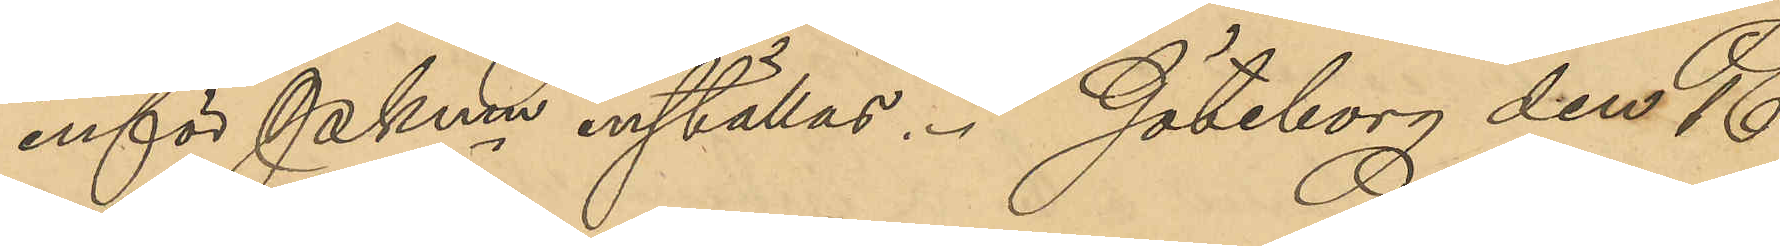inför PKmn inställas. Göteborg den 16
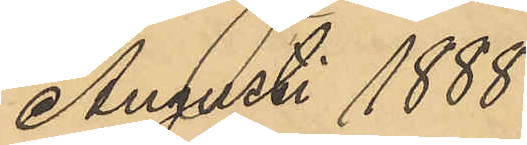Augusti 1888.
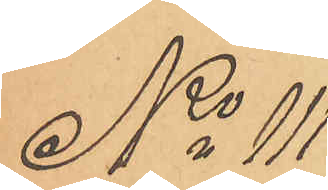No 111
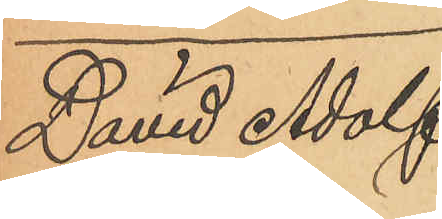David Adolf
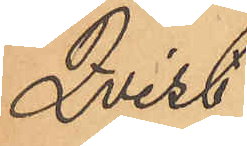Qvist.
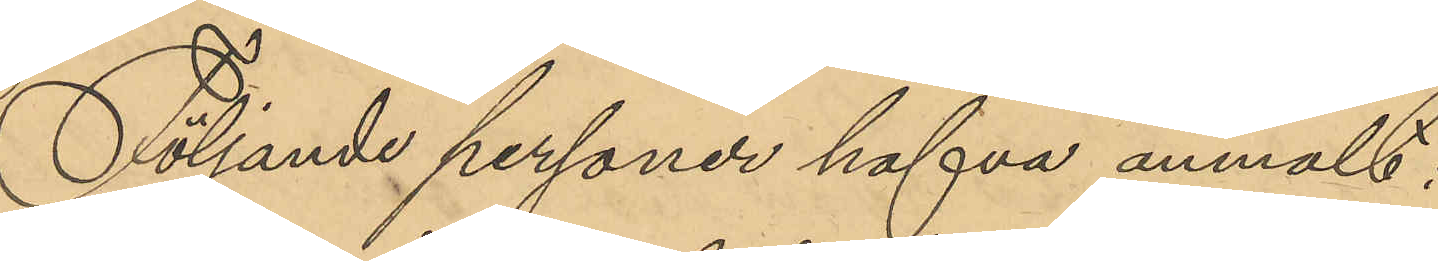Följande personer hafva anmält:
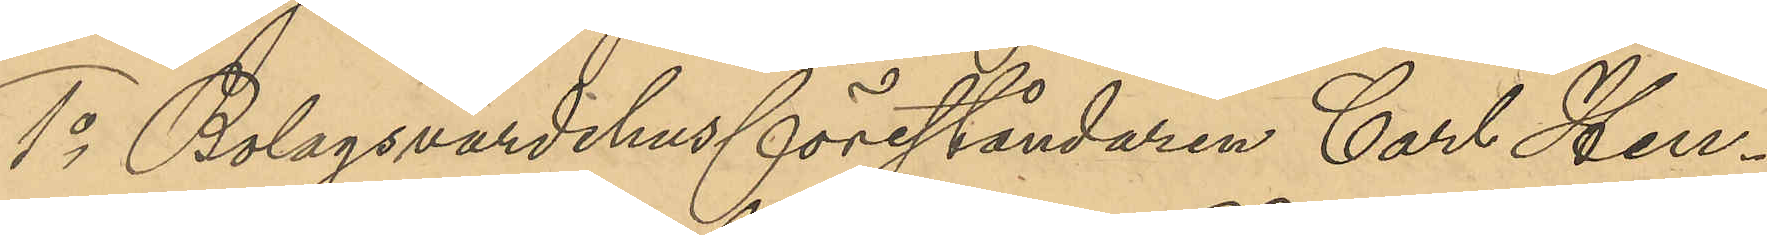1o Bolagsvärdshusföreståndaren Carl Hen¬
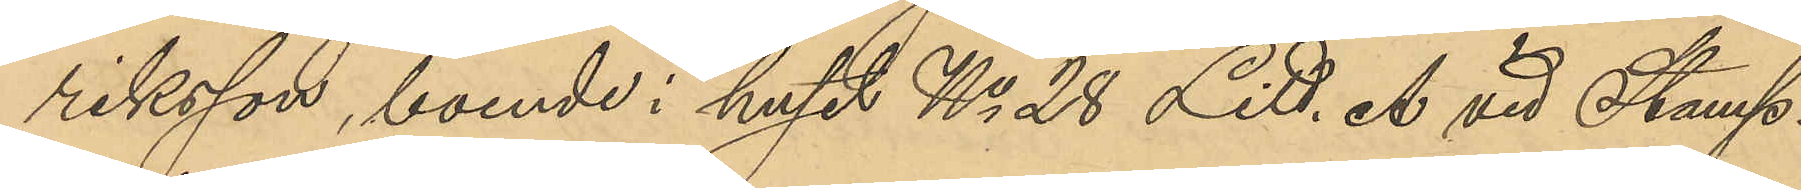riksson, boende i huset No 28 Litt. A vid Stamp¬
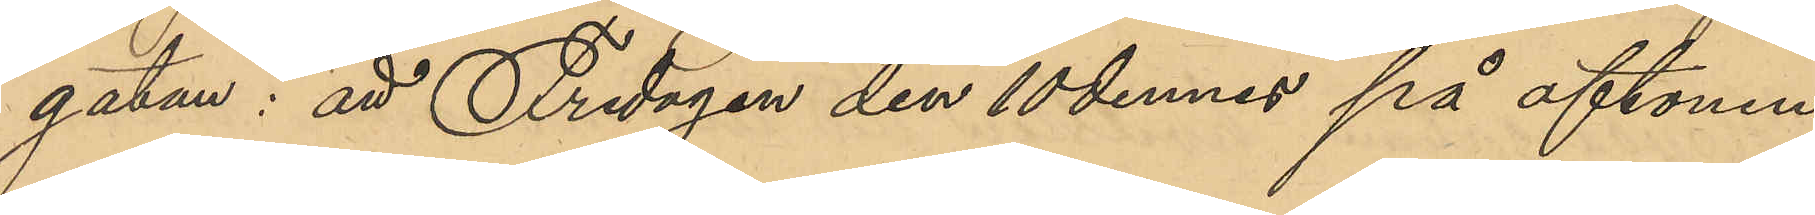gatan: att Fredagen den 10 dennes på aftonen
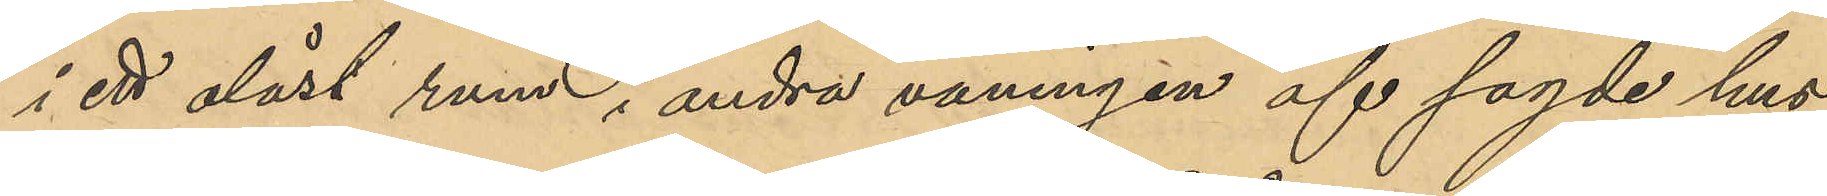i ett olåst rum i andra våningen af sagde hus
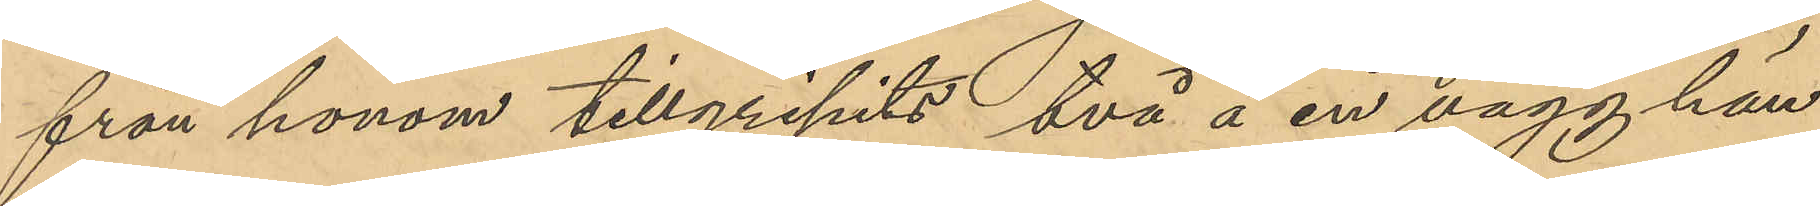från honom tillgripits två å en vägg hän¬
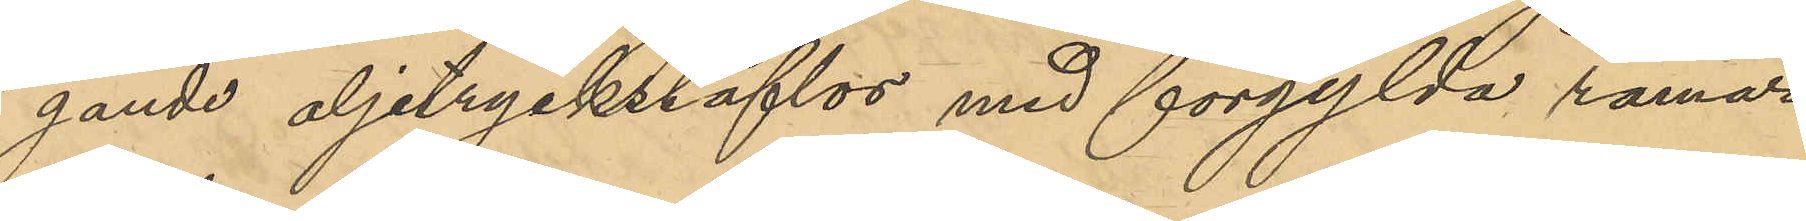gande oljetryckstaflor med förgyllda ramar,
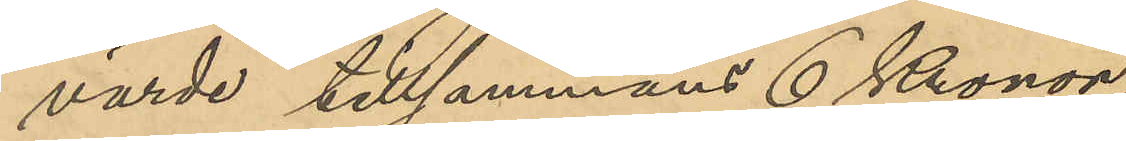värde tillsammans 6 Kronor;
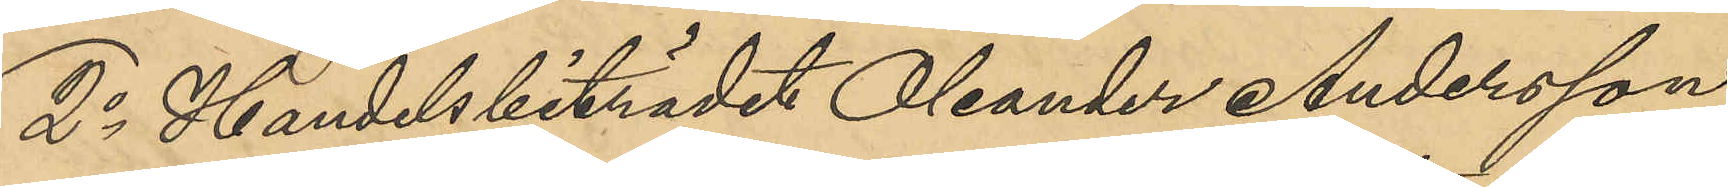2o Handelsbiträdet Oleander Andersson,
